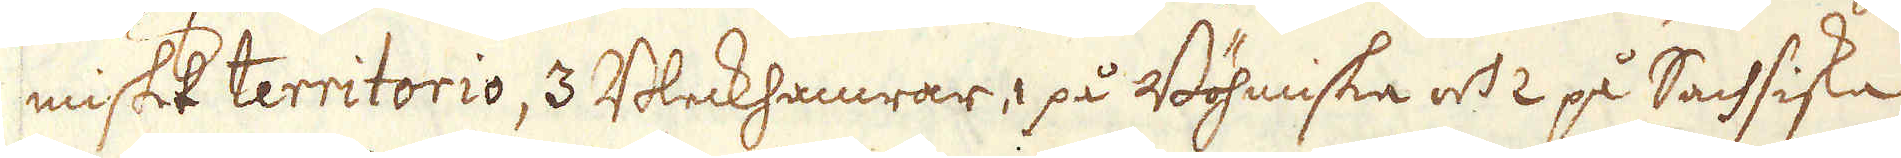miskt territorio, 3 Bleckhamrar, 1 på Böhmiske och 2 på Sachsiska
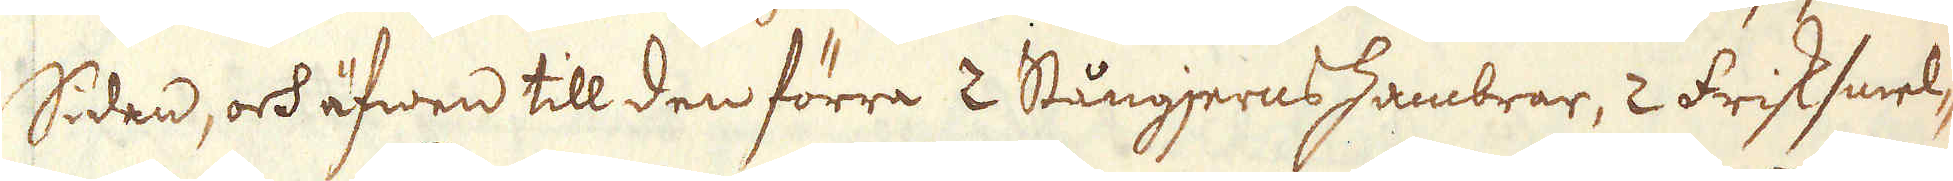Siden, och äfwen till den förra 2 Stångjerns hambrar, 2 Frisksmel-
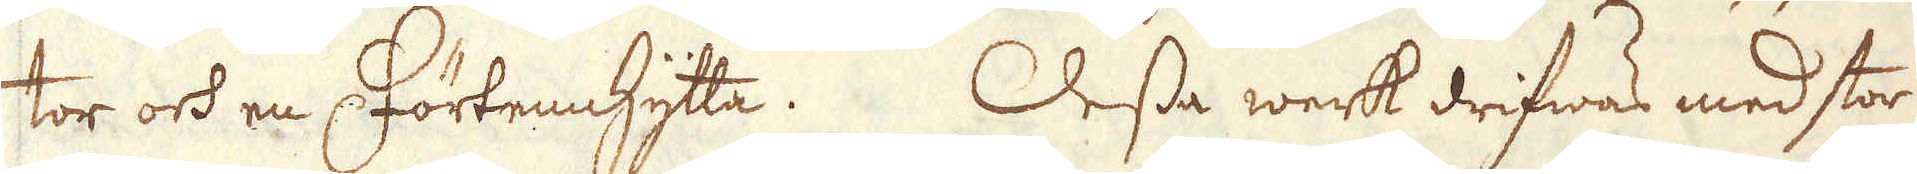tor och en Förtennhytta. Dessa werk drifwas med stor
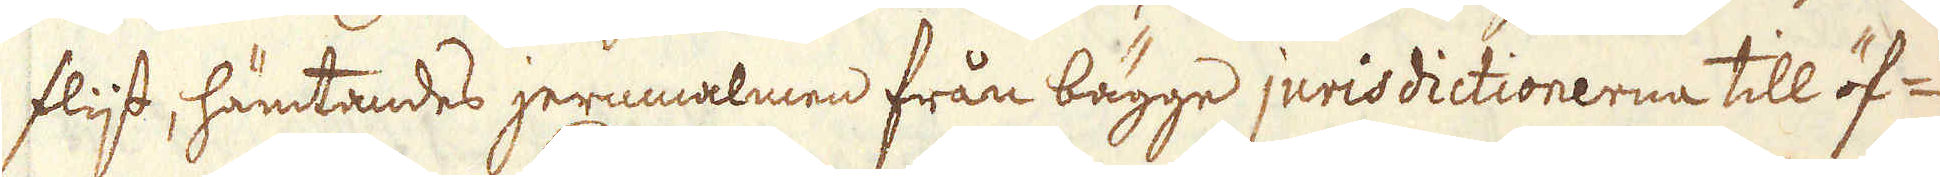flijt, hämtandes jernmalmen från bägge jurisdictionerna till öf-
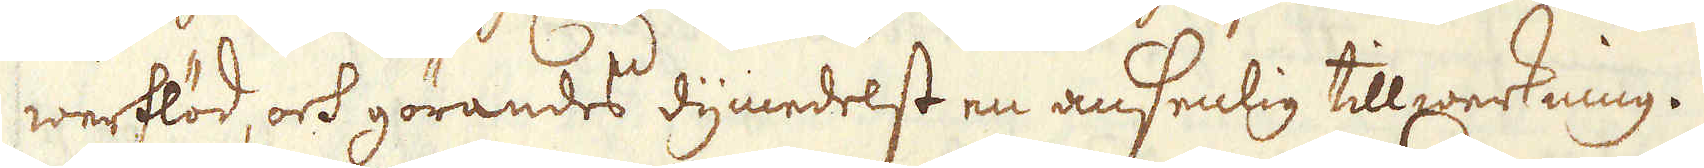werflöd, och görandes dymedelst en ansenlig tillwerkning.
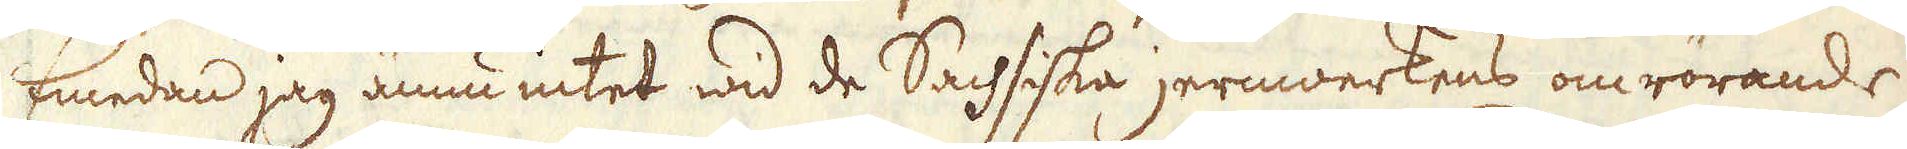Emedan jag ännu intet wid de Sachsiska jernwerkens omrörande
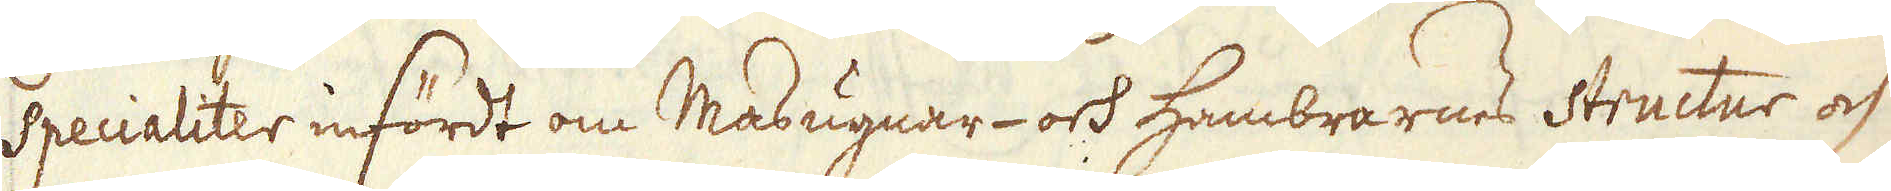specialiter infördt om Masugnar- och hambrarnes Structur och
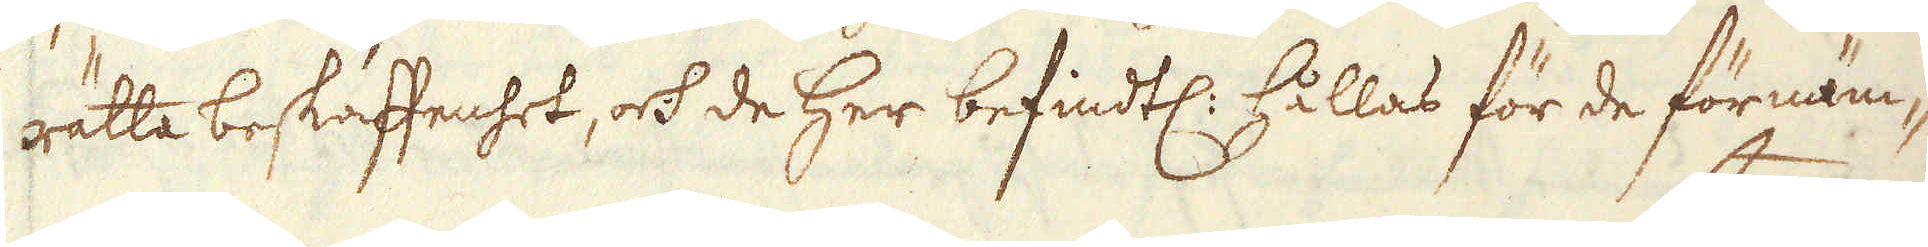rätta beskaffenhet, ock de her befintl: hållas för de förnäm-
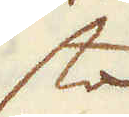sta
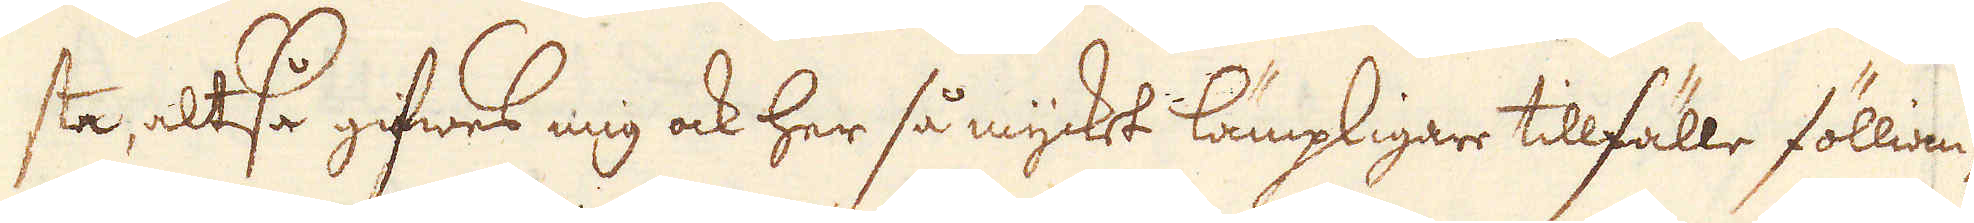sta, altså gifwes mig ock her så mycket lämpligare tillfälle föllian-
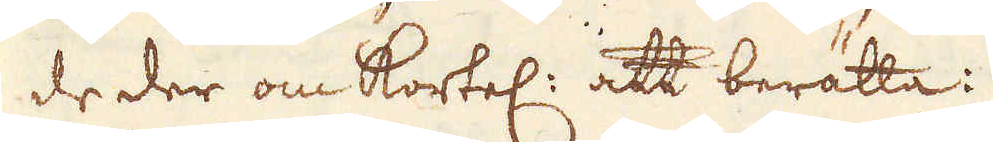de der om kortel: att berätta:
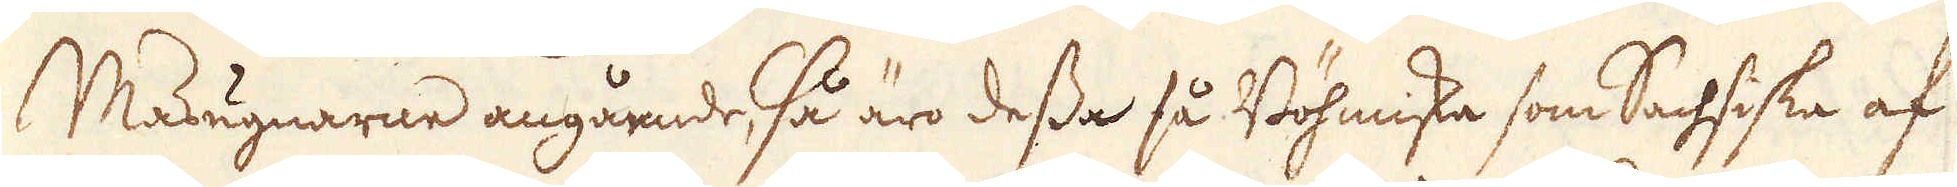Masugnarne angående, så äro dessa så Böhmiska som Sachsiske af
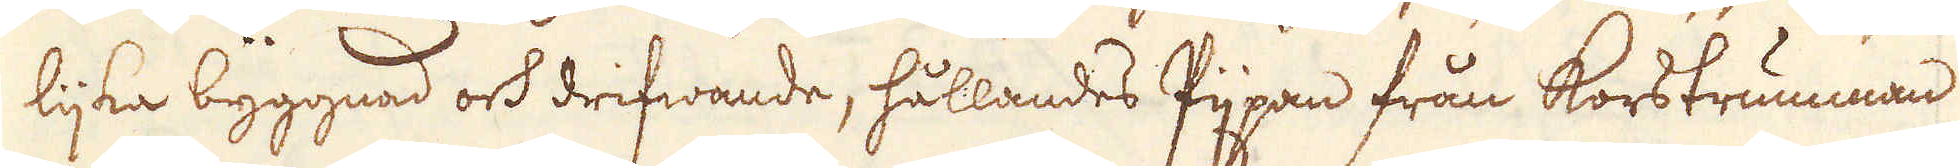lijka byggnad och drifwande, hållandes Pijpan från korstrumman
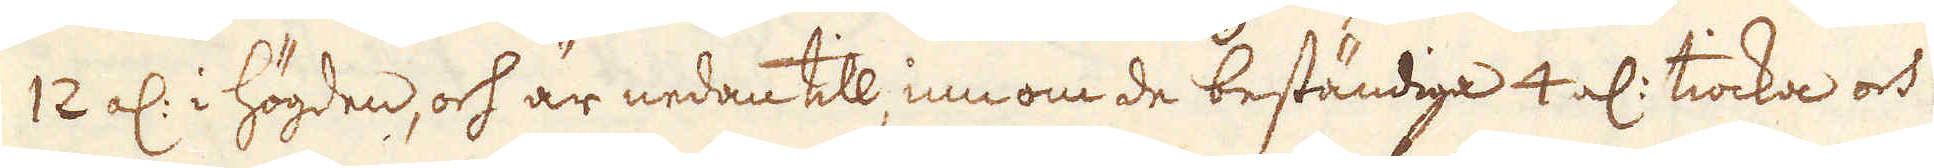12 al: i högden, och är nedan till innom de beständiga 4 al: tiocka och
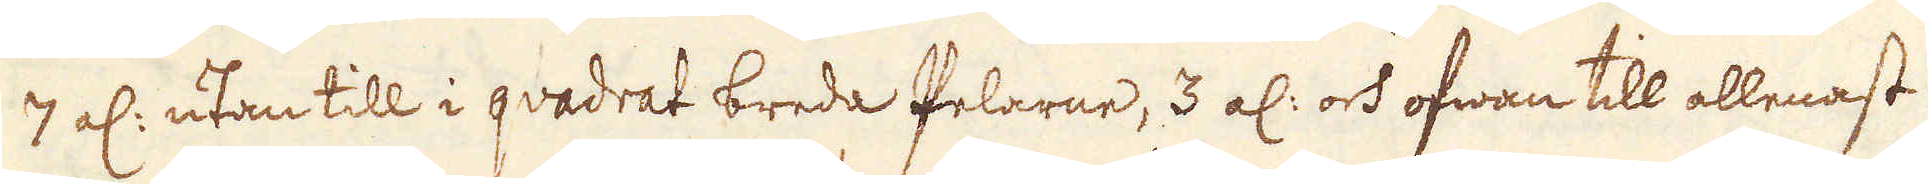7 al: utan till i quadrat breda Pelarne, 3 al: och ofwan till allenast
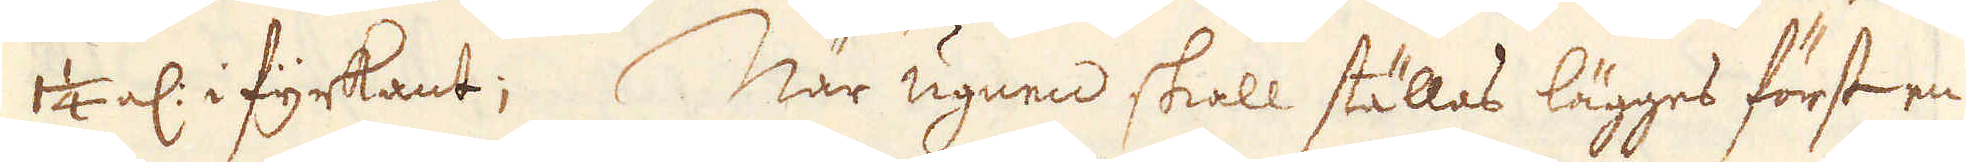1 1/4 al: i fyrkant; När ugnen skall ställas lägges först en
